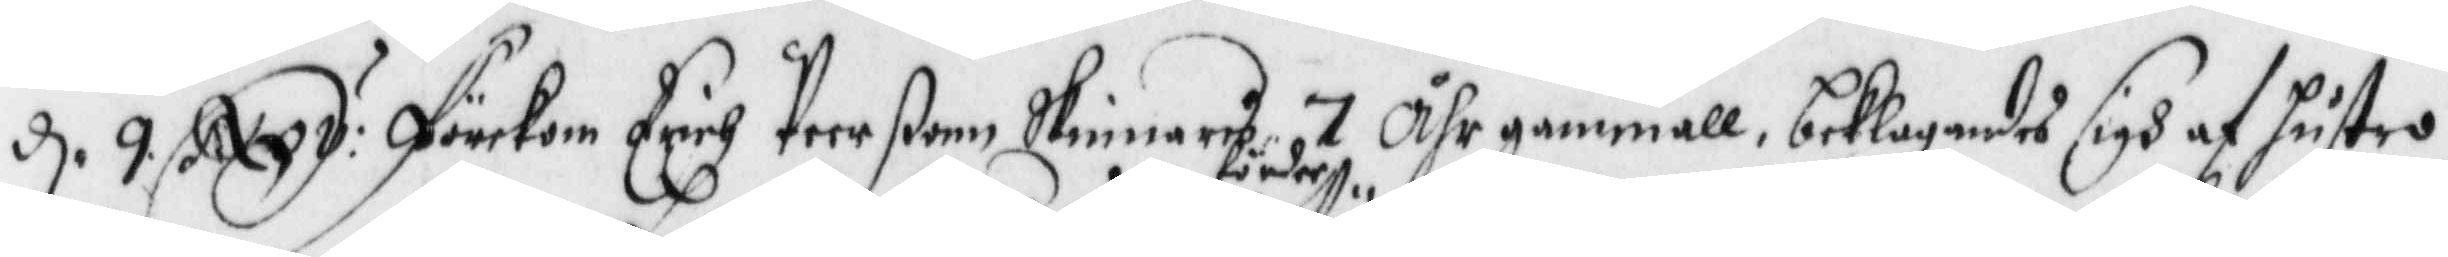d. 9. Nxy: Förekom Erich Peerßonn Skinnares 7 Åhr gammall, beklagades sigh af hustro
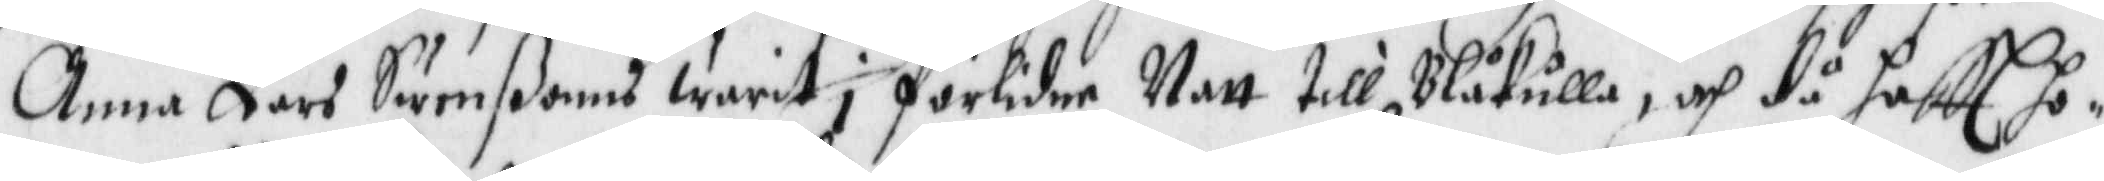Anna Lars Swenßons warit förder i förlidne Natt till Blåkulla, och då haftt ho¬
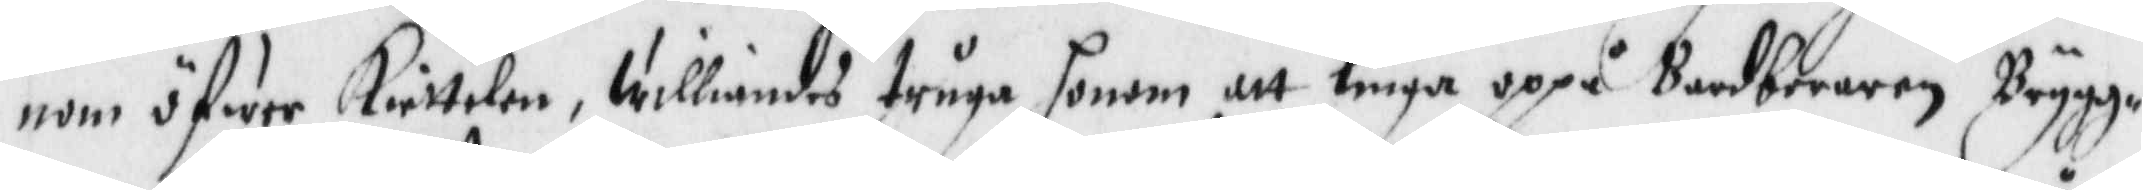nom öfwer Kiettelen, Williandes truga honom att liuga oppå Bardberaren Brygg¬
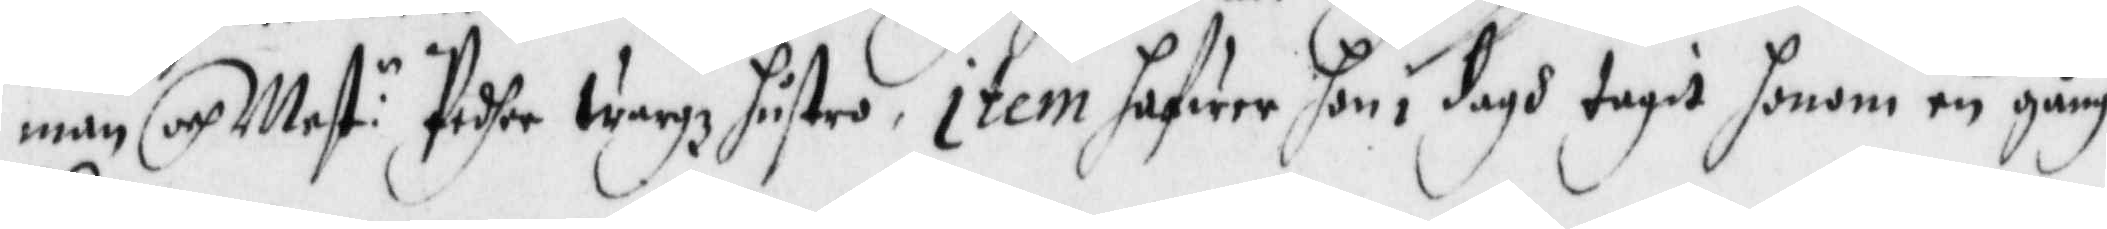man och Mest:n Pedher Wargz hustru, item hafwer hon i dagh tagit honom en gång
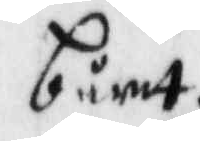bårrt.
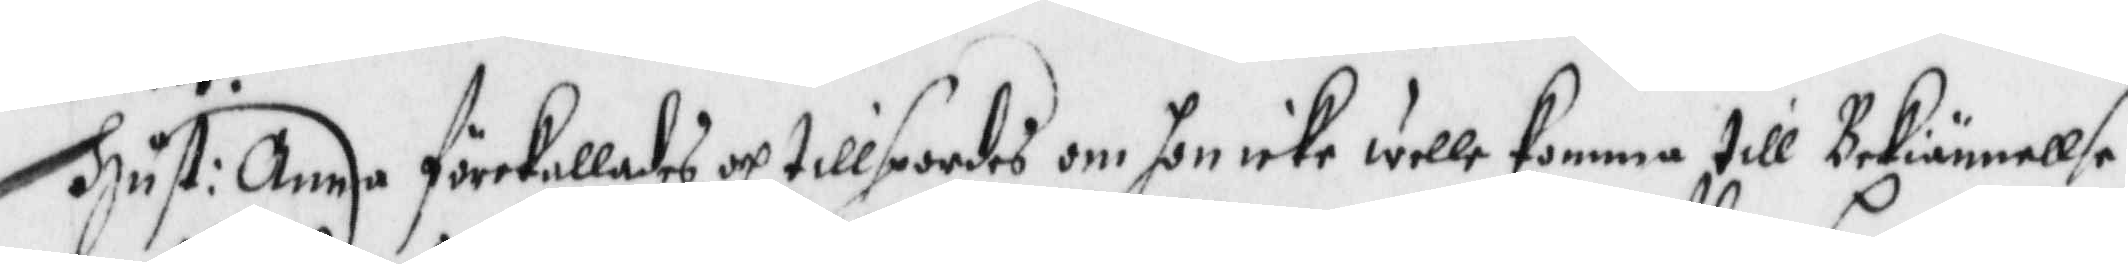Hust: Anna förekallades och tillspordes om hon icke wille komma till Bekiännelse,
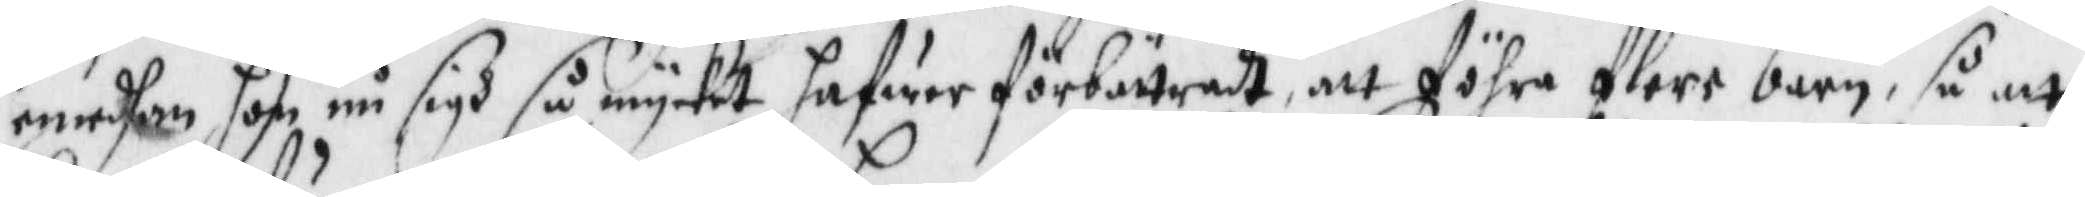emedhan hon må sigh så mycket hafwer förbättrad, att föhra flere barn, så att
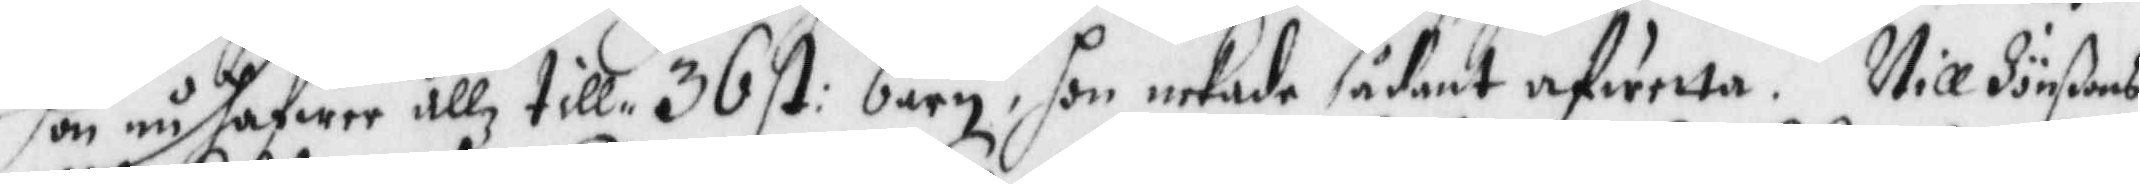hon nu hafwer allz till 36 st: barn, hon nekade sådant afwetta. Nill Jönßons
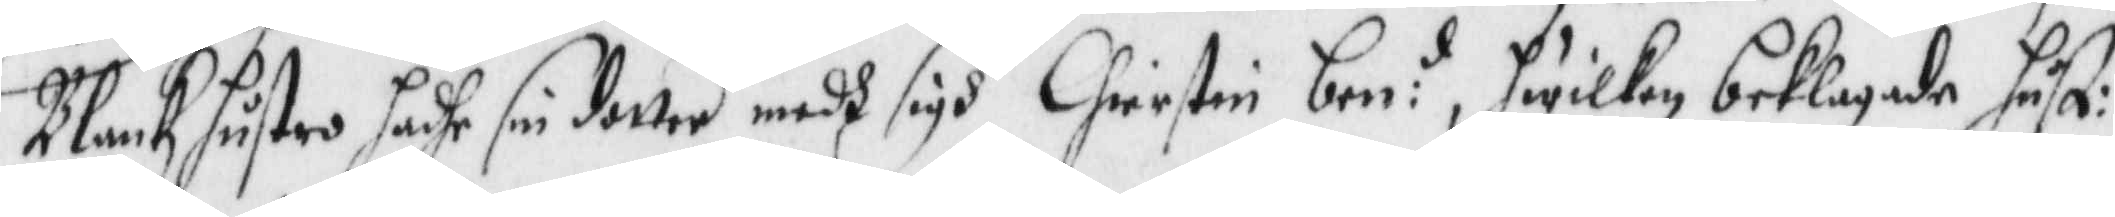Blankz hustro hadhe sin dotter medh sigh Chrierstin ben:d, hwilken beklagade hust:
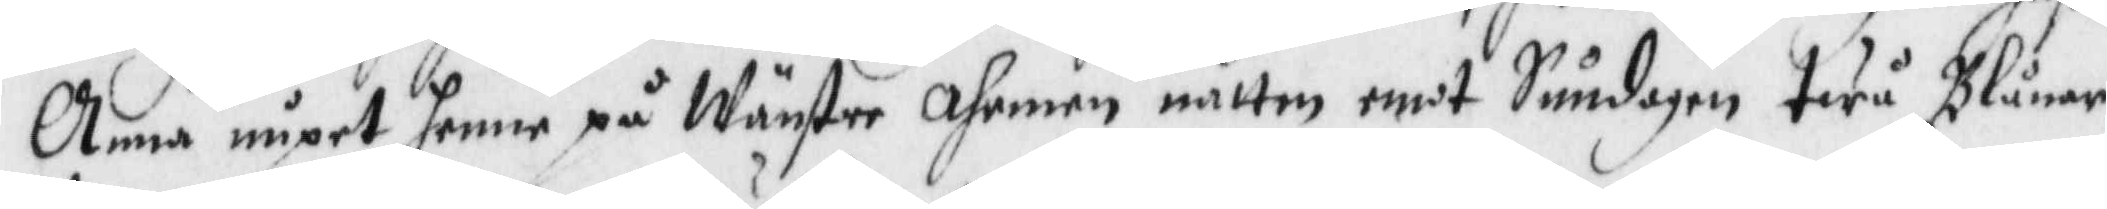Anna nupet henne på Wänster Ahrmen natten emot Sundagen twå Blånor
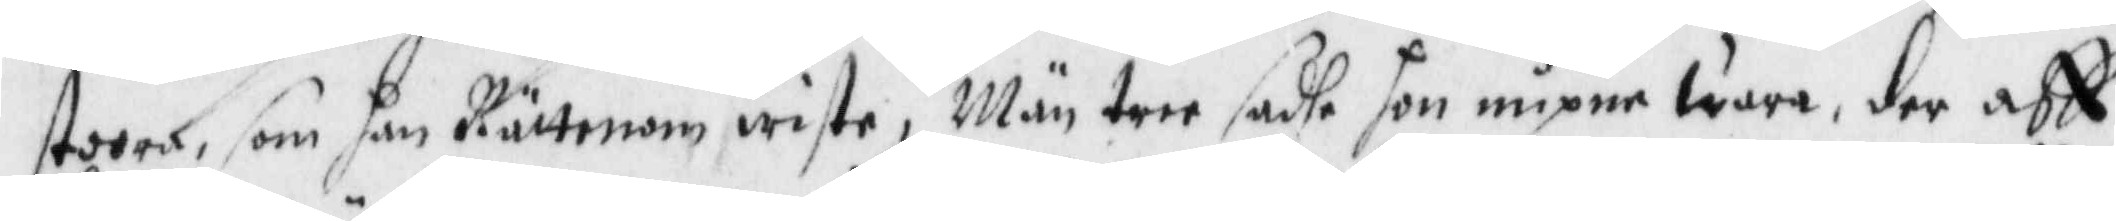stoora, som han Rättenom wiste, Män tree sadhe hon nupne wara, der aff
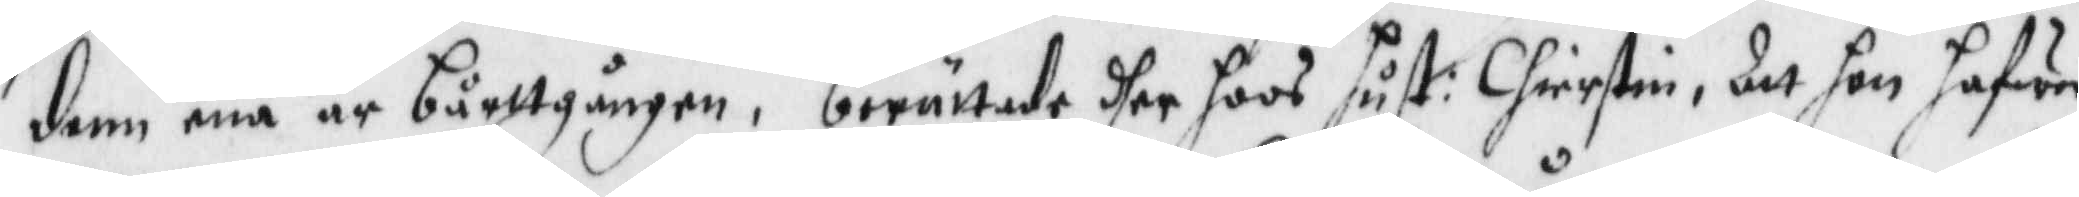denn ena är bårttgången, berättade dher hoos hust: Chierstin, Att hon hafwer
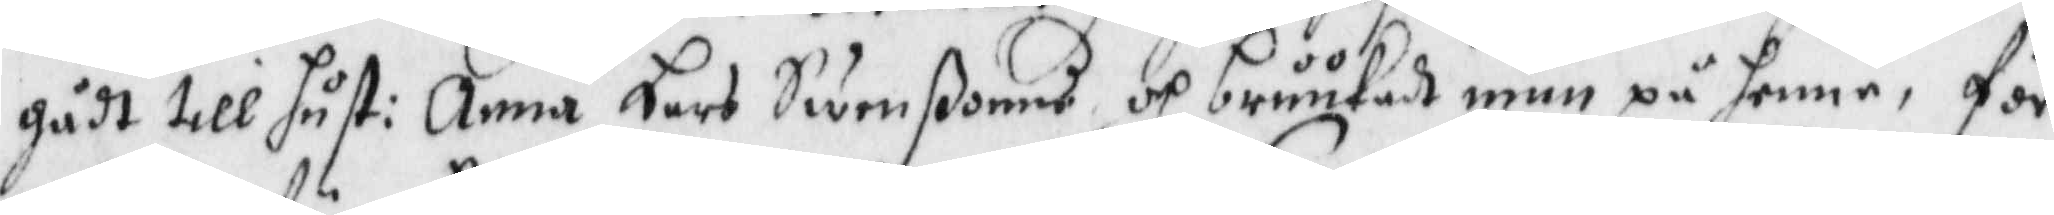gådt till hust: Anna Lars Swenßons och bruukadt mun på henne, för
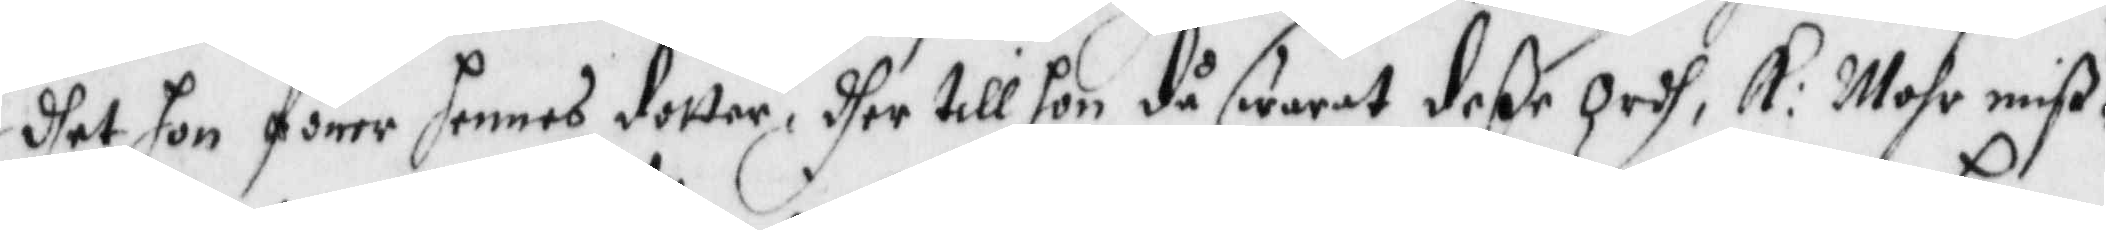dhet hon förer hennes dotter, dher till hon då swarat deße ordh: Mohr miß¬
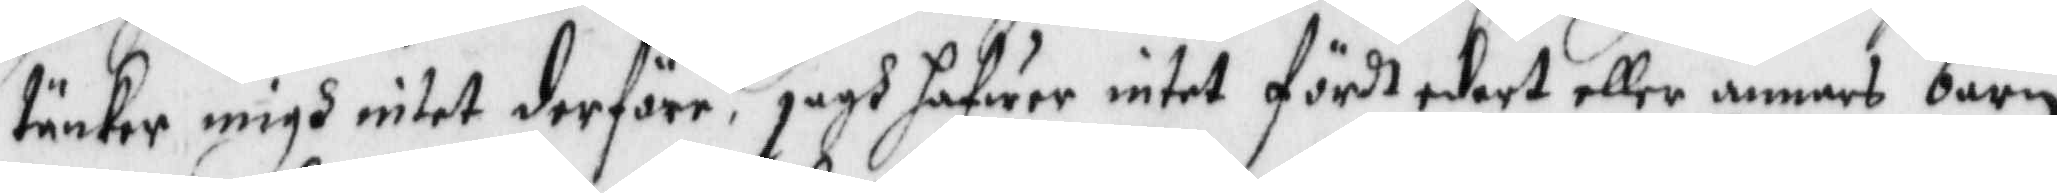tänker migh intet derföre, jagh hafwer intet fördt edert eller annars barn
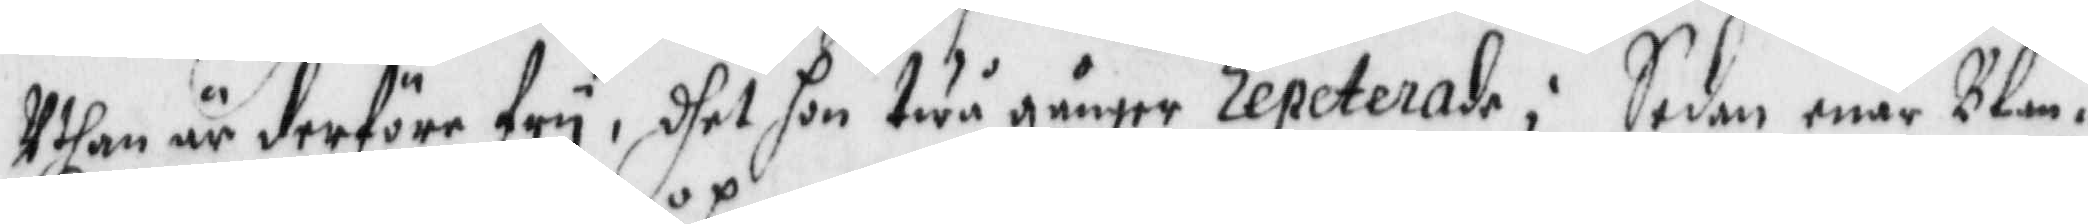Uthan är derföre fry, dhet hon twå gånger repeterade; Sedan enär Blan¬
